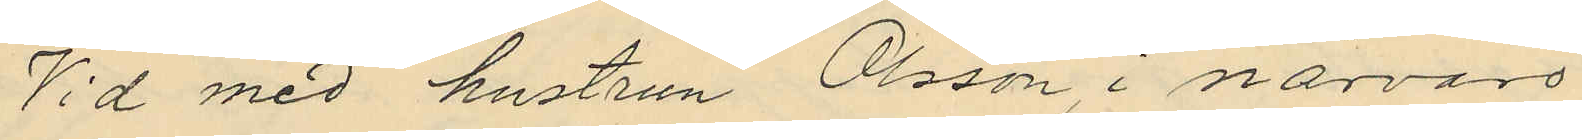Vid med hustrun Olsson, i närvaro
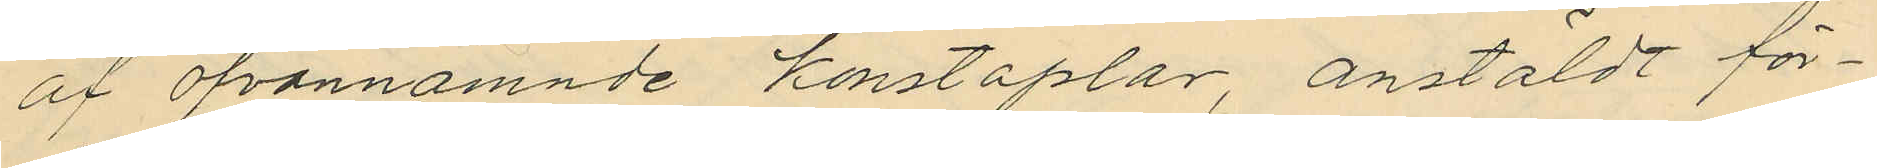af ofvannämnde konstaplar anstäldt för¬
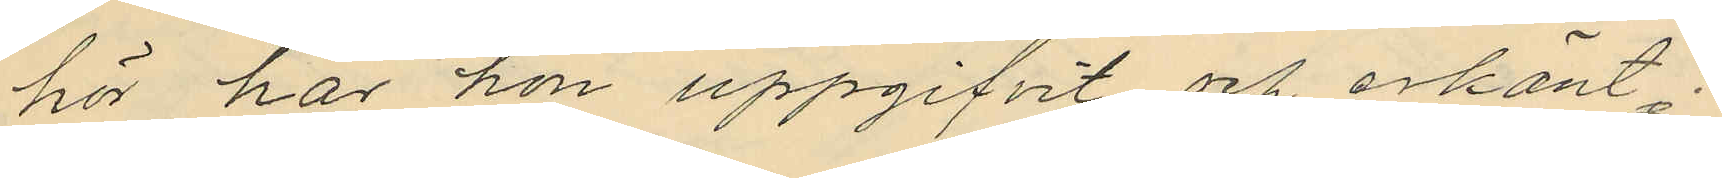hör har hon uppgifvit och erkänt:
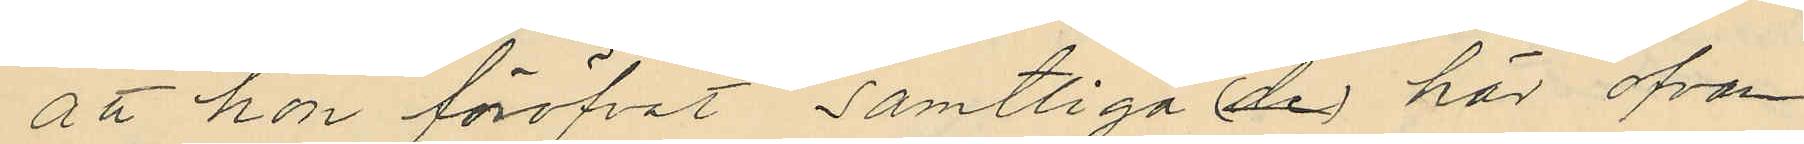att hon föröfvat samtliga (de) här ofvan
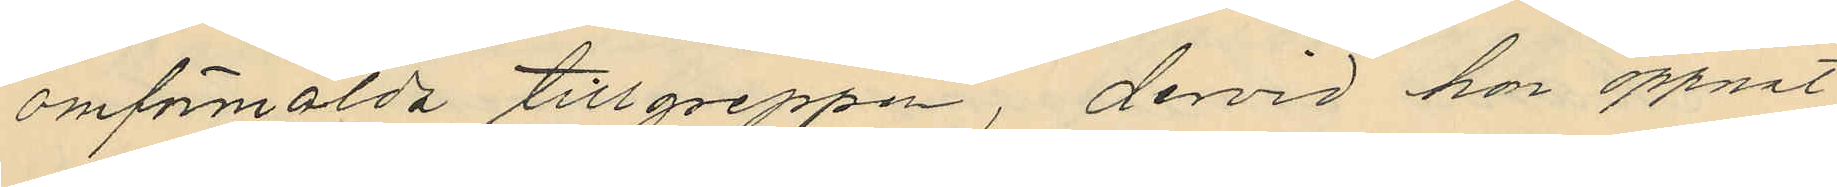omförmälda tillgreppen, dervid har öppnat
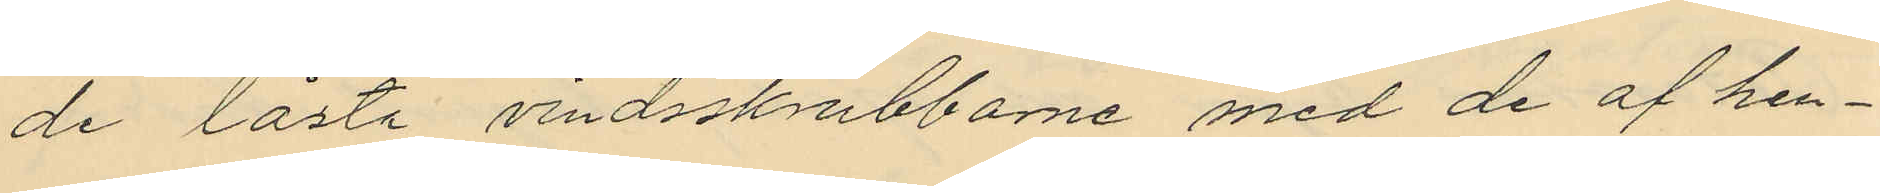de låsta vindsskrubbarne med de af hen¬
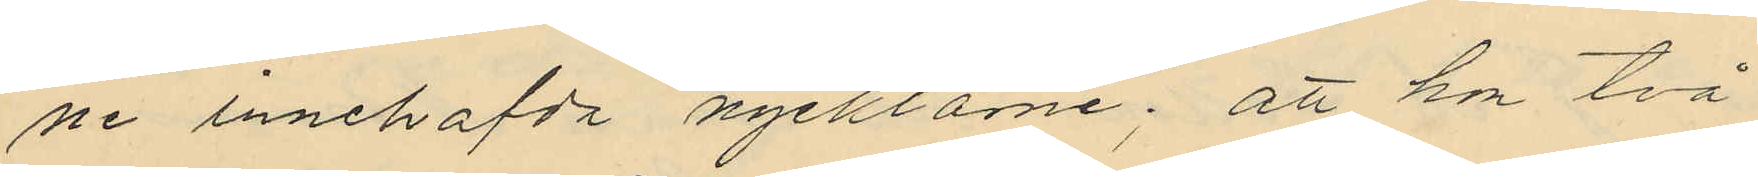ne innehafda nycklarne; att hon två
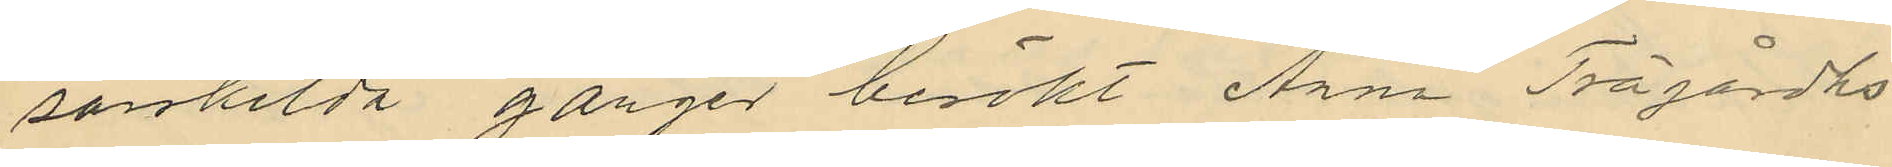särskilda gånger besökt Anna Trägårdhs
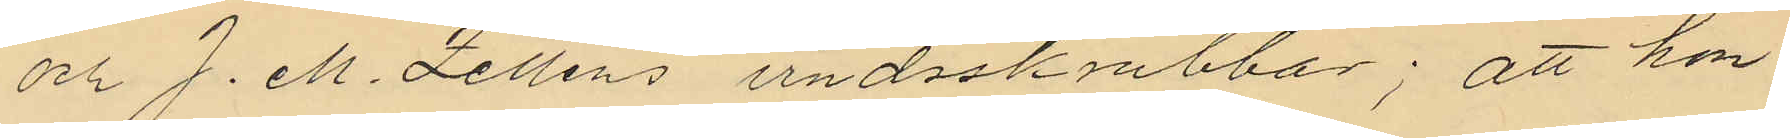och J. M. Zelléns vindsskrubbar; att hon
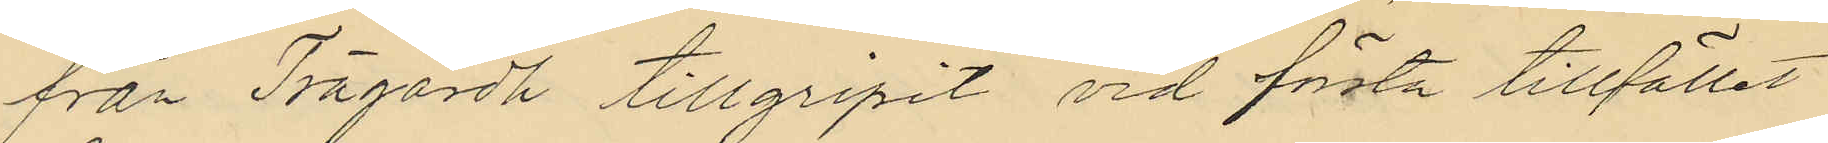från Trägårdh tillgripit vid första tillfället
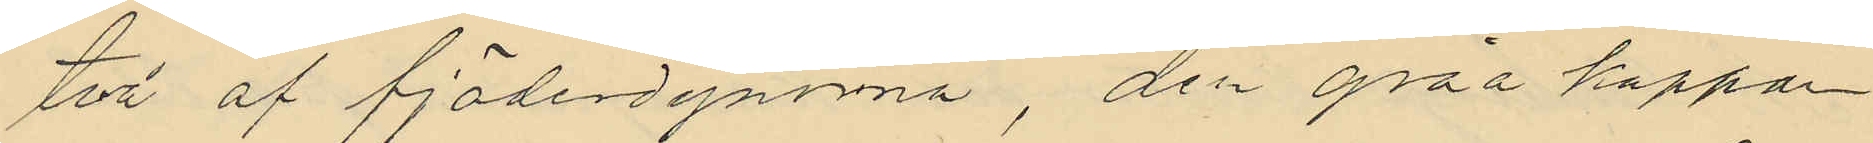två af fjäderdynorna, den gråa kappan
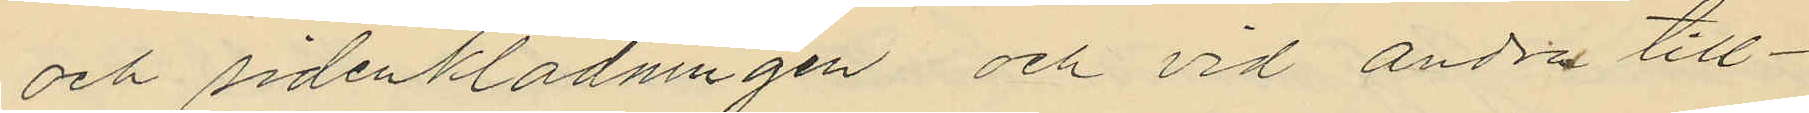och sidenklädningen och vid andra till¬
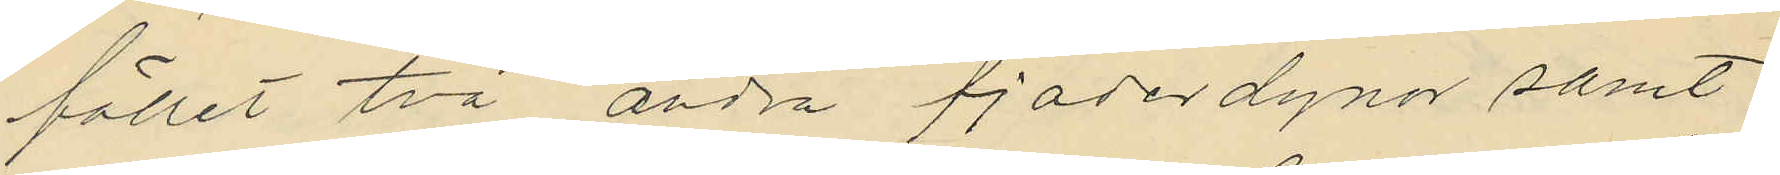fället två andra fjäderdynor samt
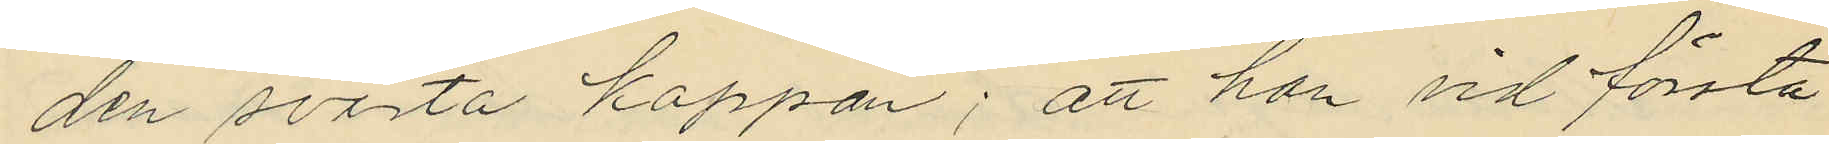den svarta kappan; att hon vid första
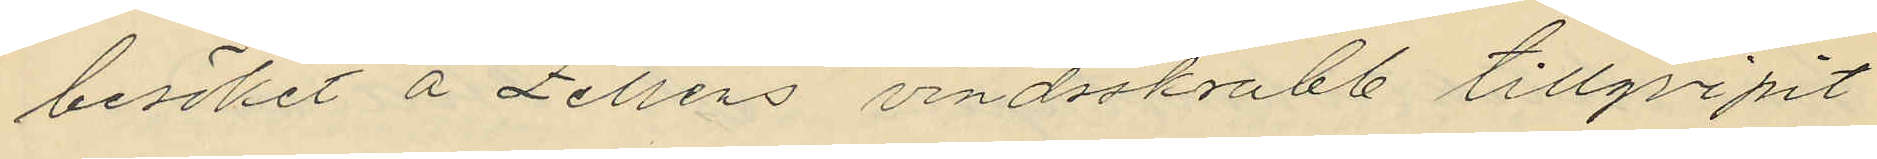besöket å Zelléns vindsskrubb tillgripit
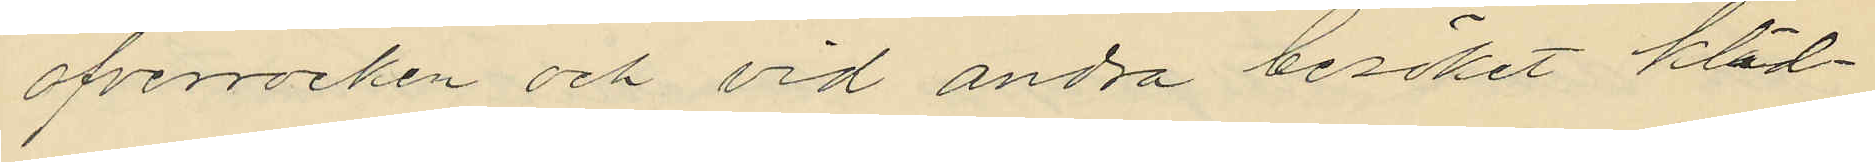ofverrocken och vid andra besöket kläd¬
